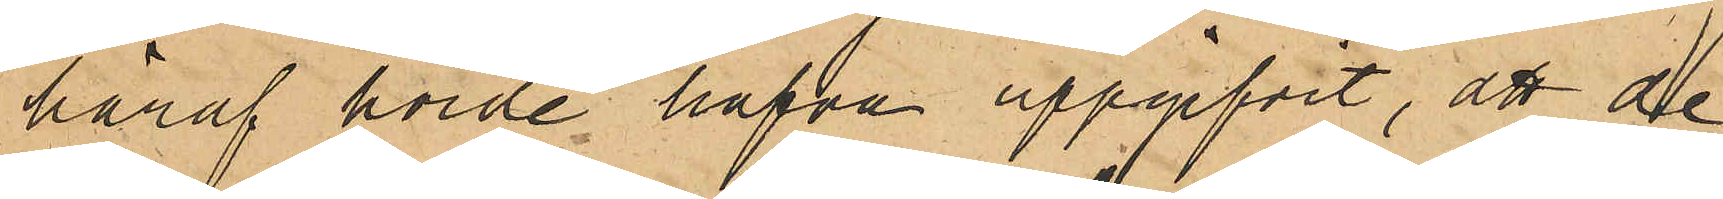häraf hörde hafva uppgifvit, att de
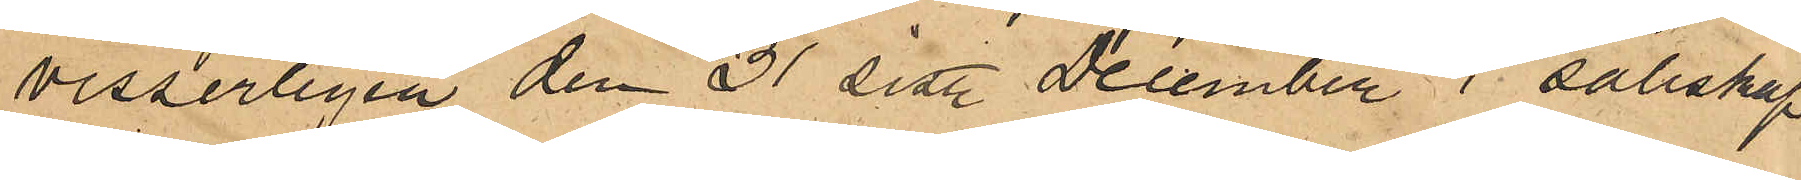visserligen den 31 sist. December i sällskap
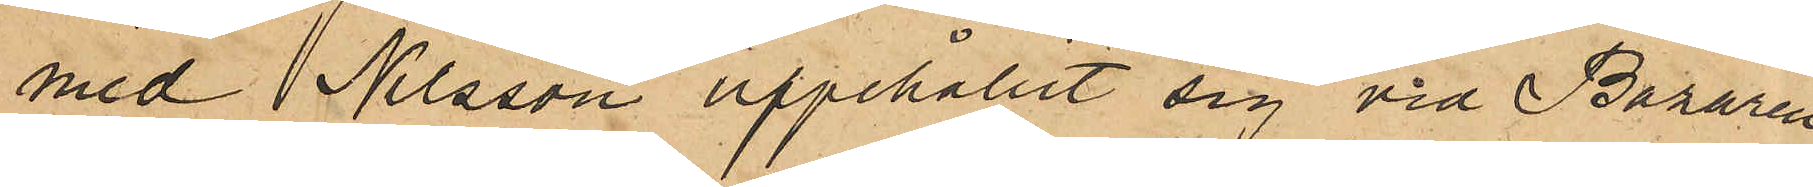med Nilsson uppehållit sig vid Bazaren
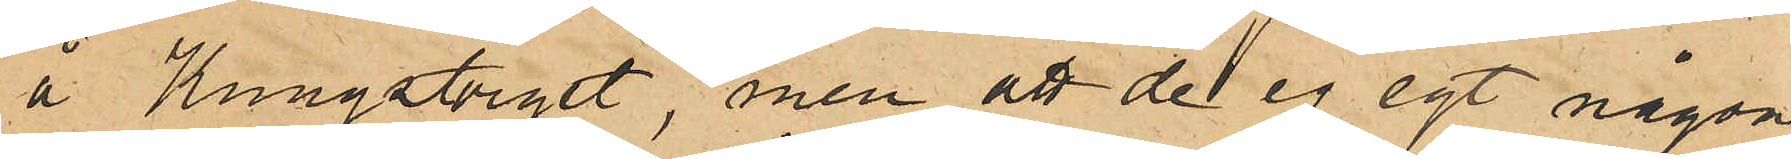å Kungstorget, men att de ej egt någon
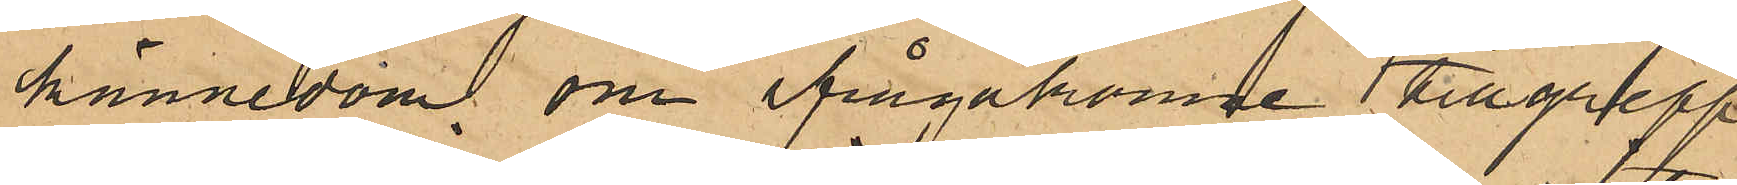kännedom om ifrågakomne tillgrepp
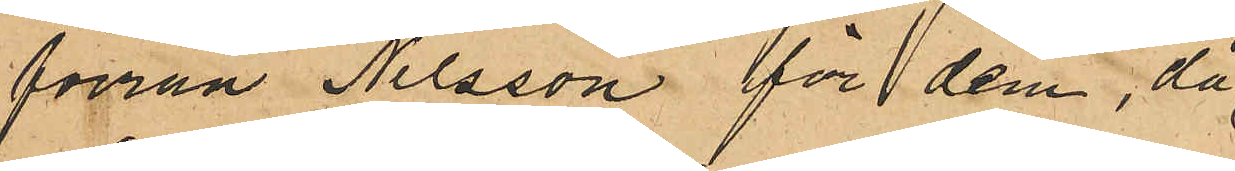förrän Nilsson för dem, då
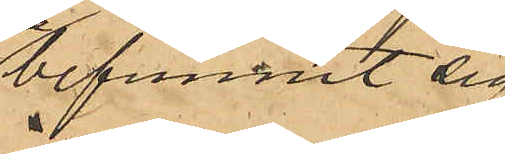befunnit sig
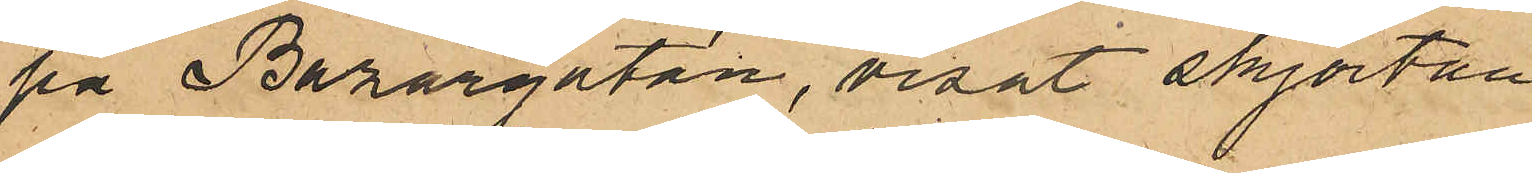på Bazargatan, visat skjortan
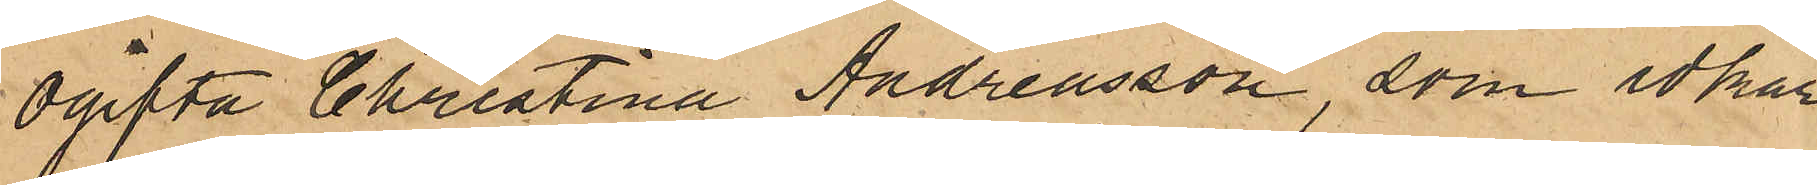Ogifta Christina Andreasson, som idkar
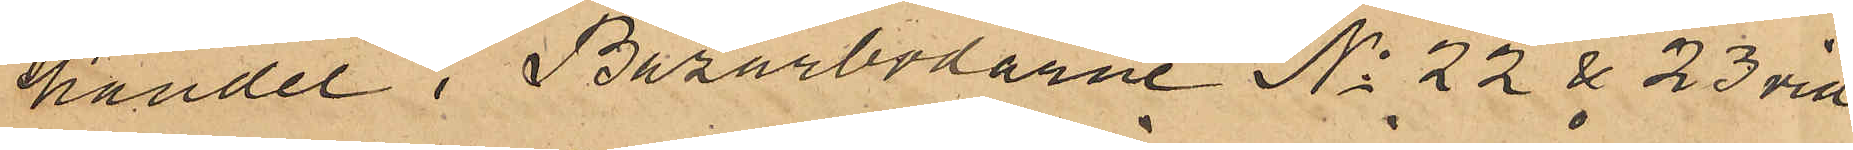handel i Bazarbodarne No 22 & 23 vid
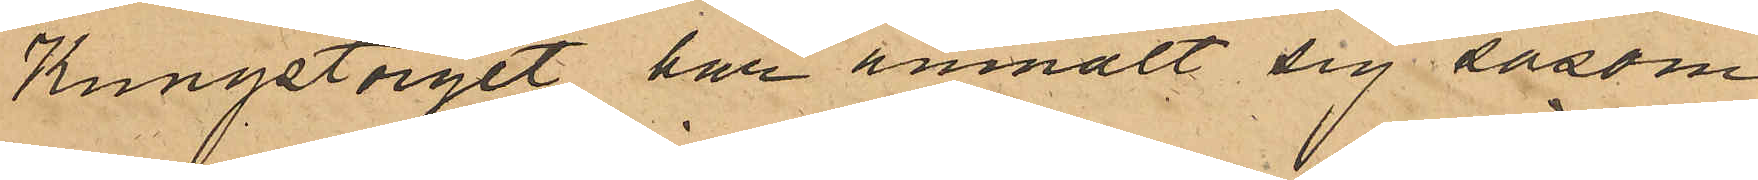Kungstorget har anmält sig såsom
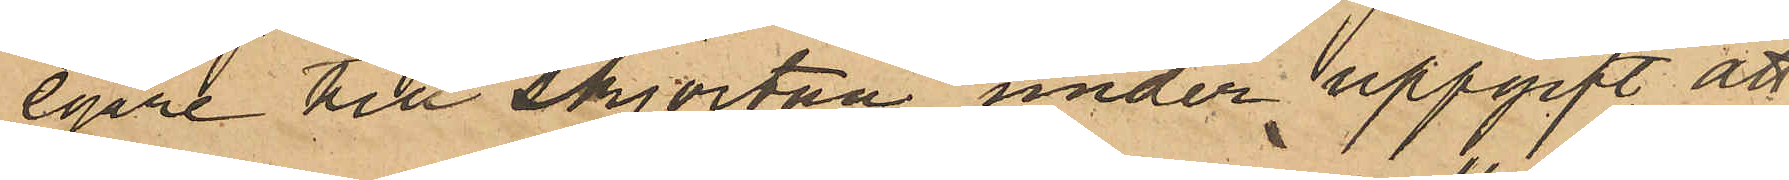egare till ylleskjortan under uppgift att
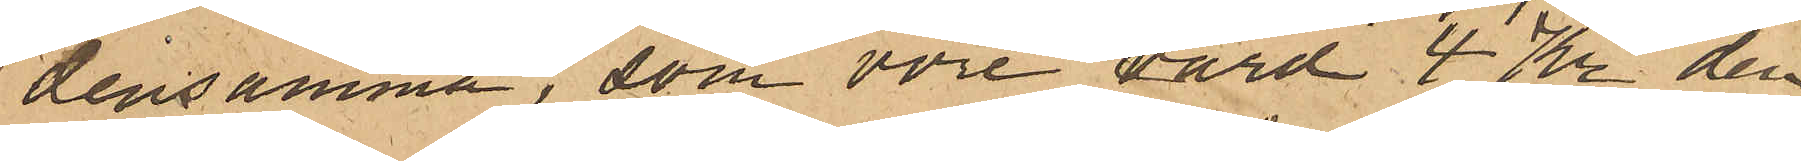densamma, som vore värd 4 Kr den
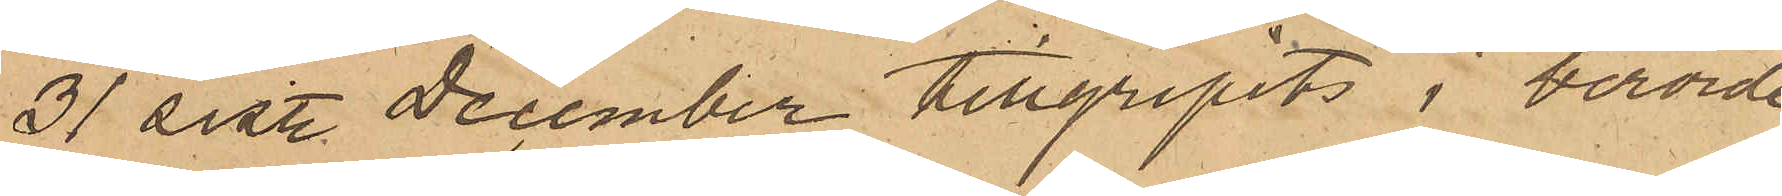31 sist. December tillgripits i berörde
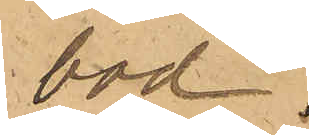bod.
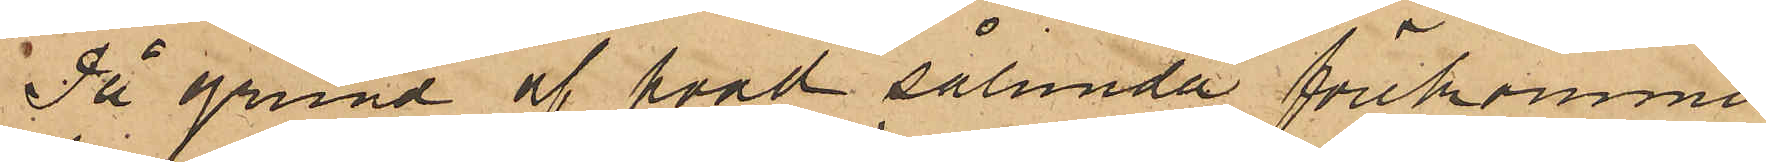På grund af hvad sålunda förekommit,
